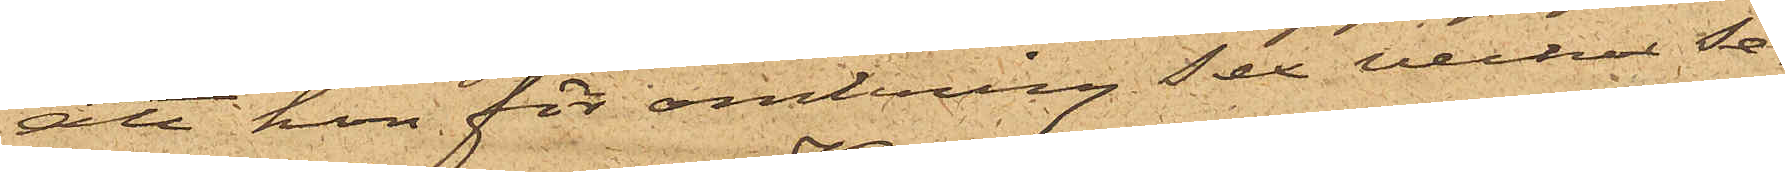att hon för omkring sex veckor se¬
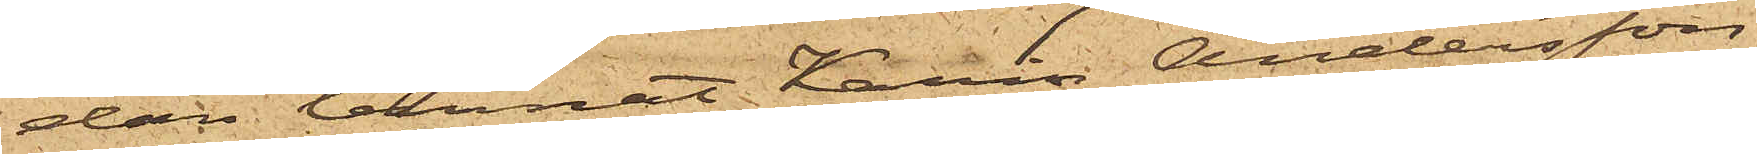dan lemnat Karin Andersson
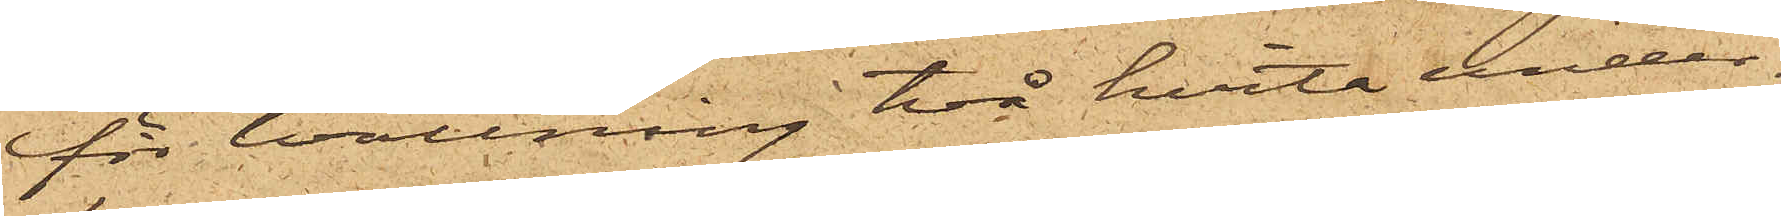för tvättning två hvita under¬
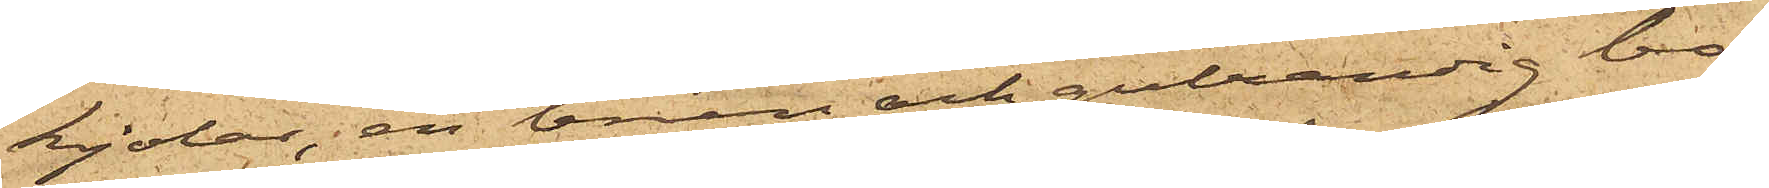kjolar, en brun och gulrandig bo¬
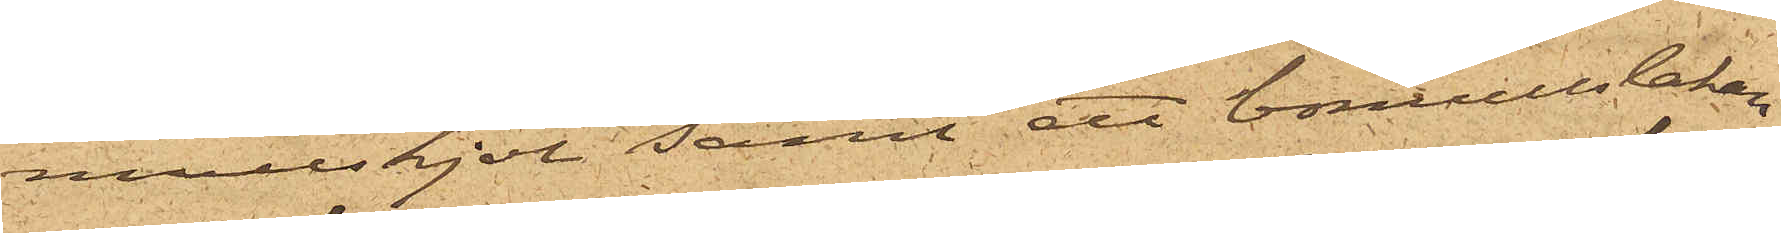mullskjol samt ett bomullslakan
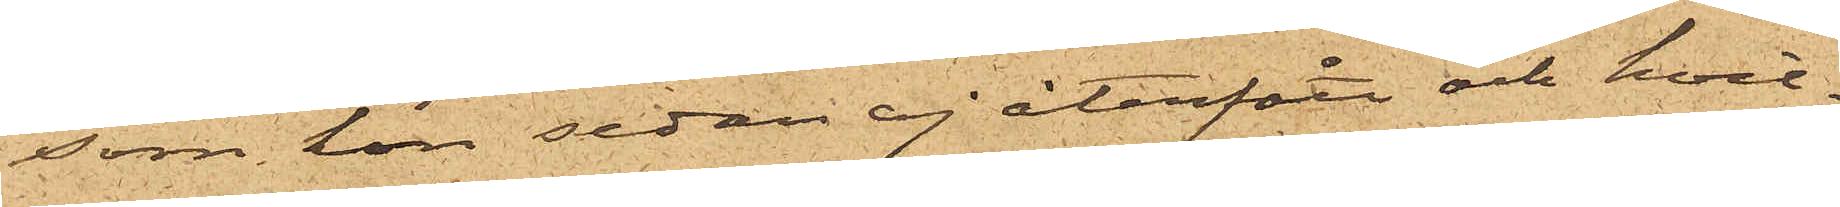som hon sedan ej återfått och hvil¬
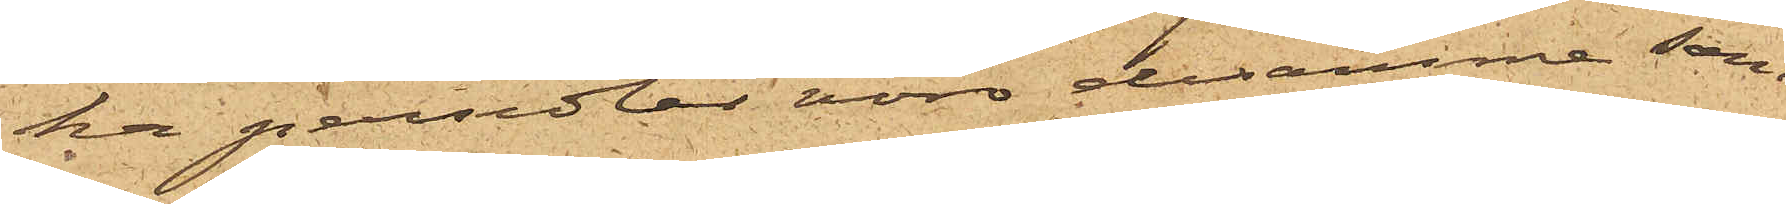ka persedlar voro desamme som
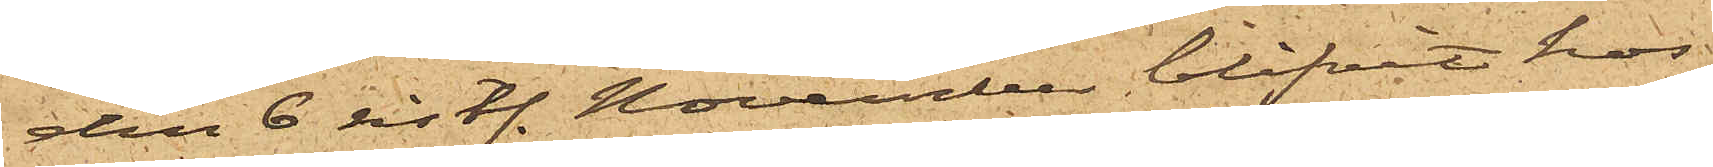den 6 sistl. November, blifvit hos
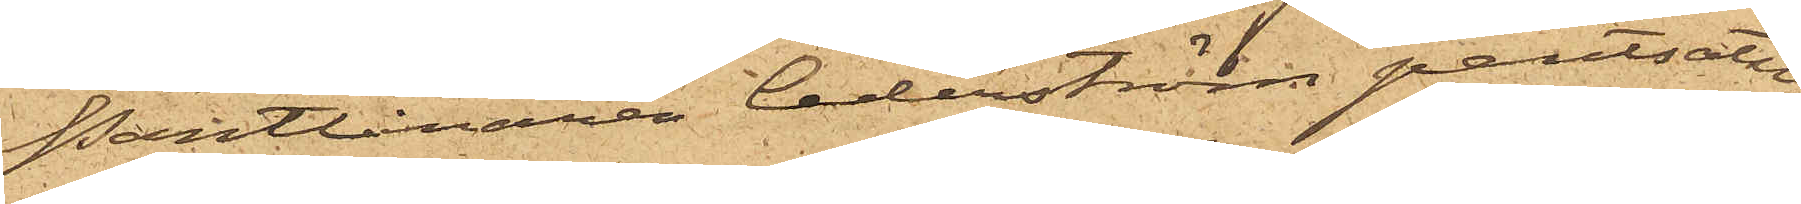Pantlånaren Cederström pantsatte;
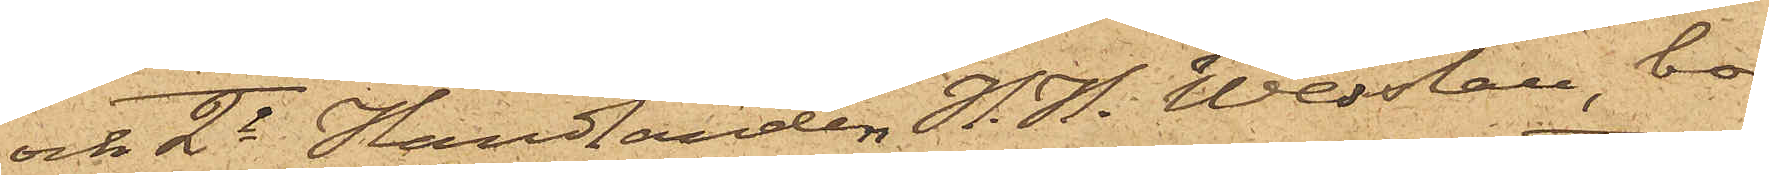och 2o Handlanden H. H. Wesslau, bo¬
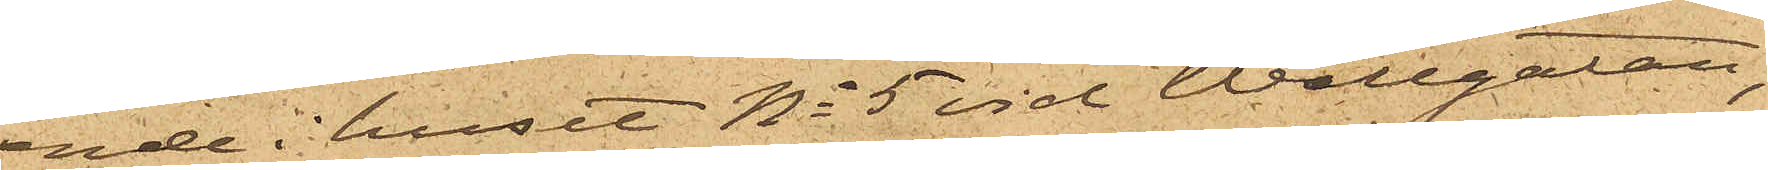ende i huset No 5 vid Wallgatan,
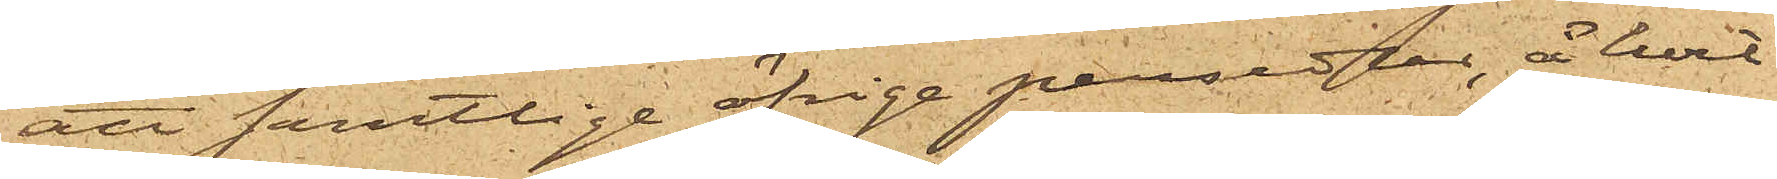att samtlige öfrige persedlar, å hvil¬
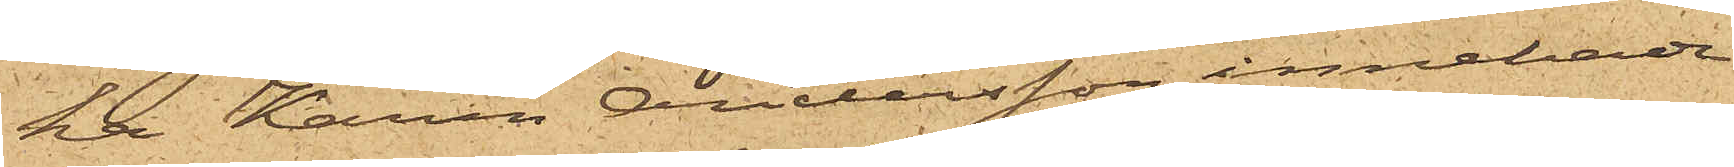ka Karin Andersson innehade
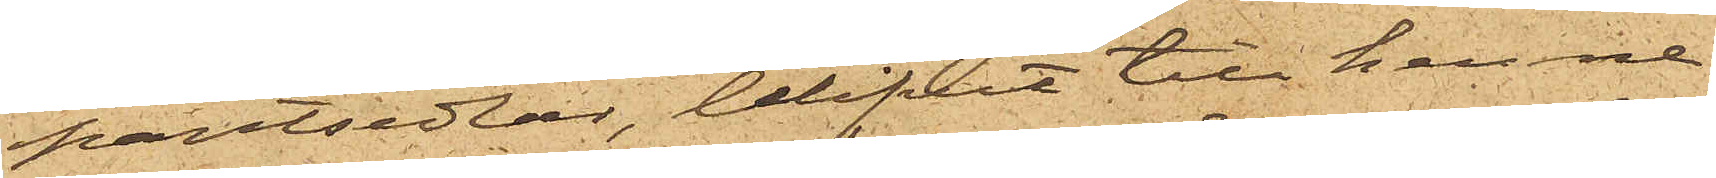pantsedlar, blifvit till henne
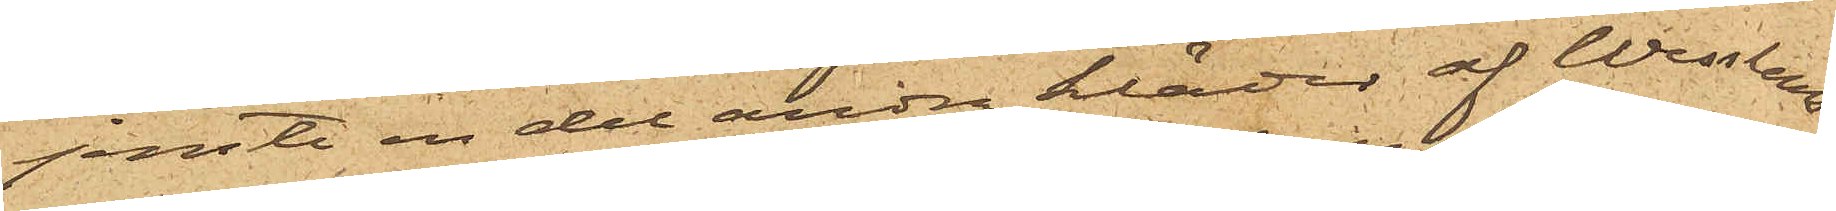jemte en del andra kläder af Wesslaus
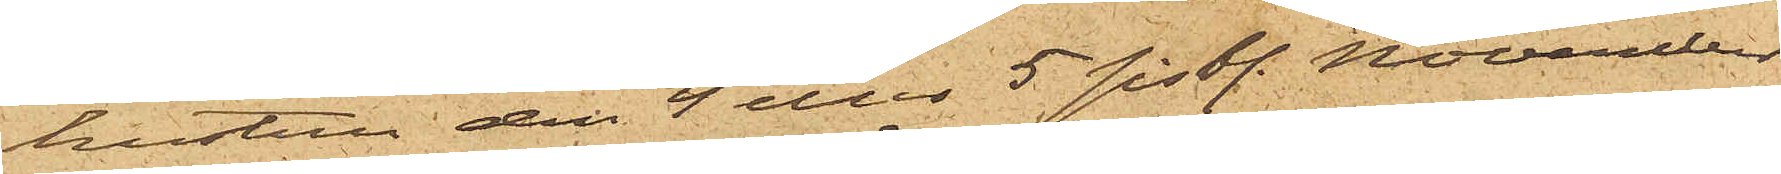hustru den 4 eller 5 sistl. November
